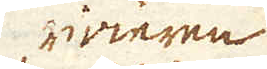rivieren
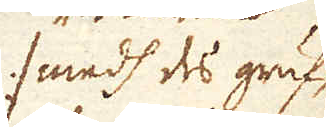:/ medh des gruf-
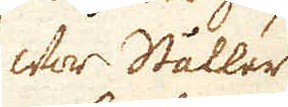wor Ståller
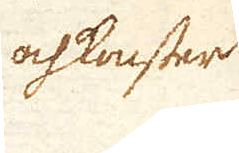och konster
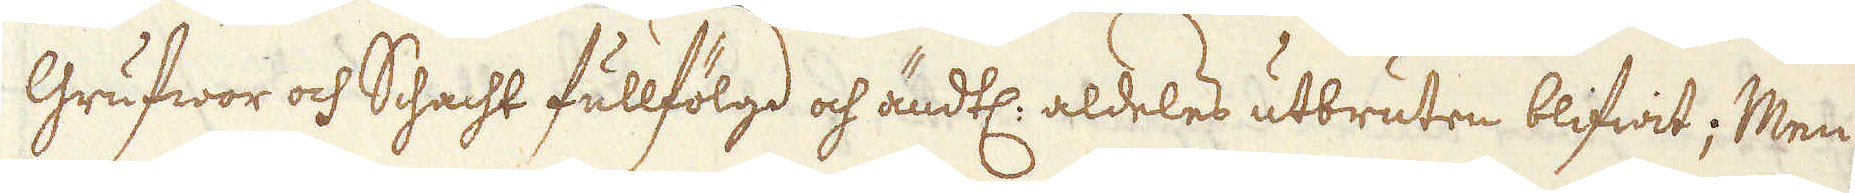Grufwor och Schacht fullfölgd och ändtl: aldeles utbruten blifwit; Men
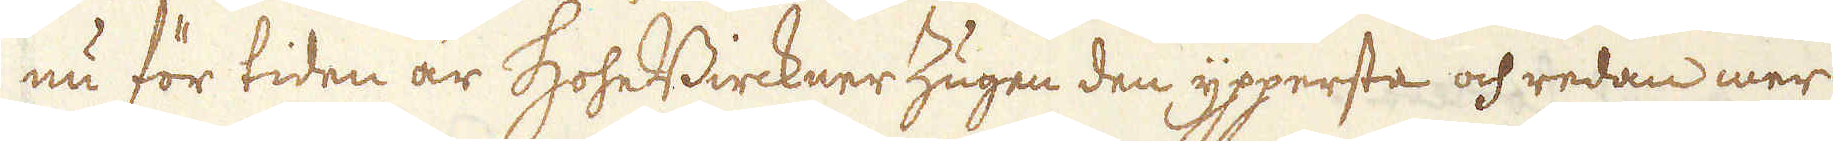nu för tiden är HoheBirckner Zugen den yppersta och redan mer
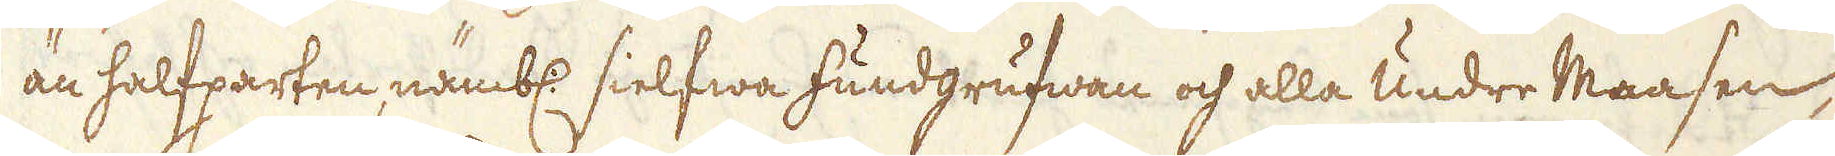än halfparten nämbl. sielfwa fundgrufwan och alla undre Maasen
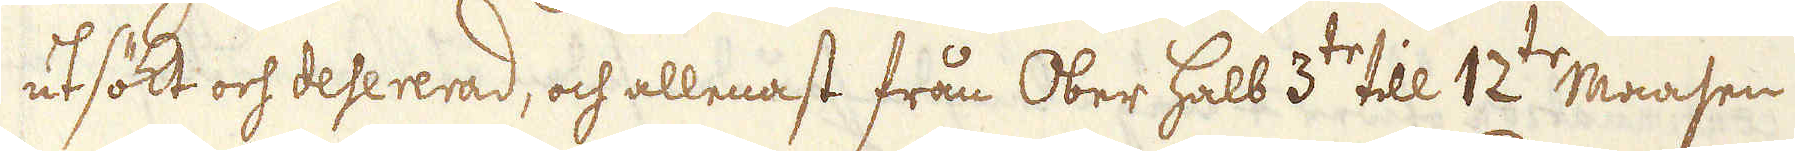utsökt och desererad, och allenast från Ober halb 3:tr till 12:tr Maasen
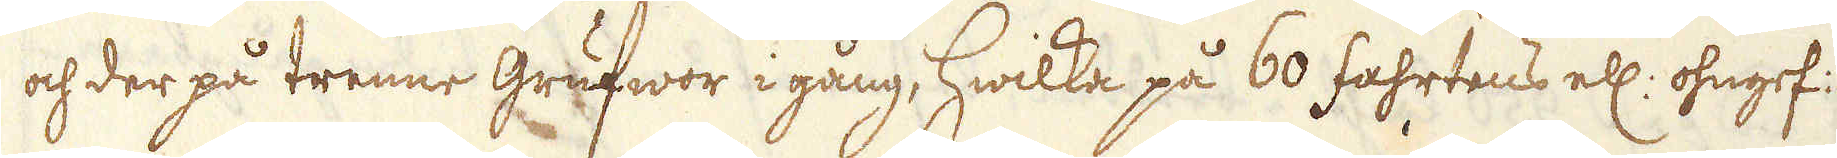och der på trenne grufwor i gång, hwilka på 60 fahrtens ell: ohngef:
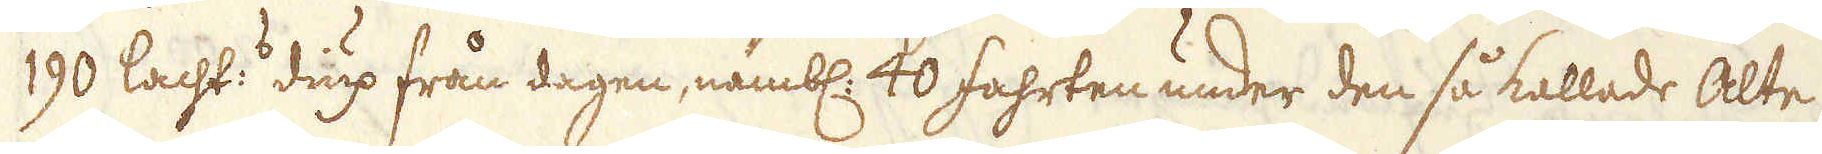190 lacht: diup från dagen, nämbl. 40 fahrten under den så kallade Alte
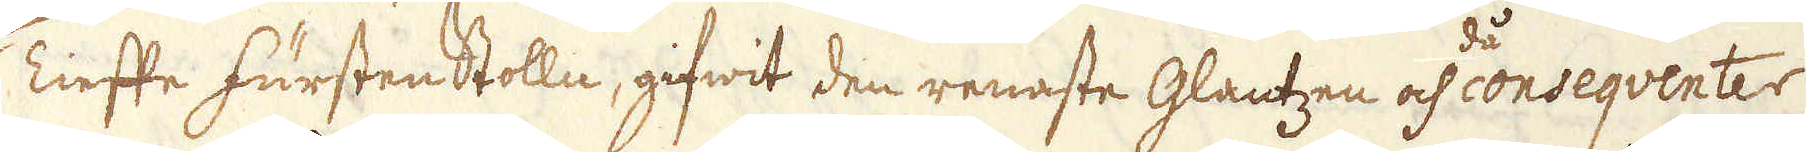Tlefte fürstenStolln, gifwit den renaste Glantzen och då conseqventer
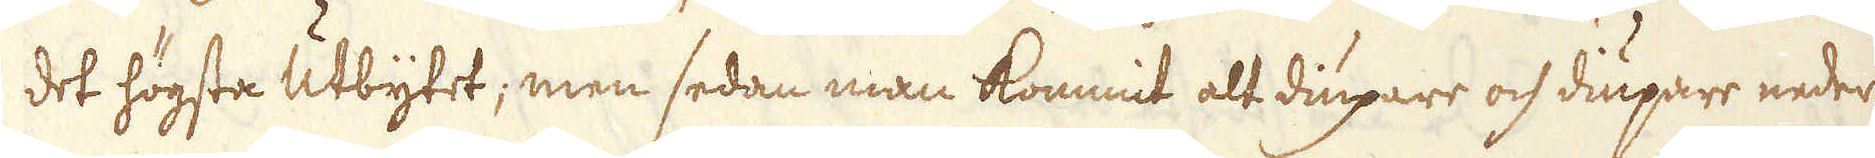det högsta Utbytet, men sedan man kommit alt diupare och diupare neder
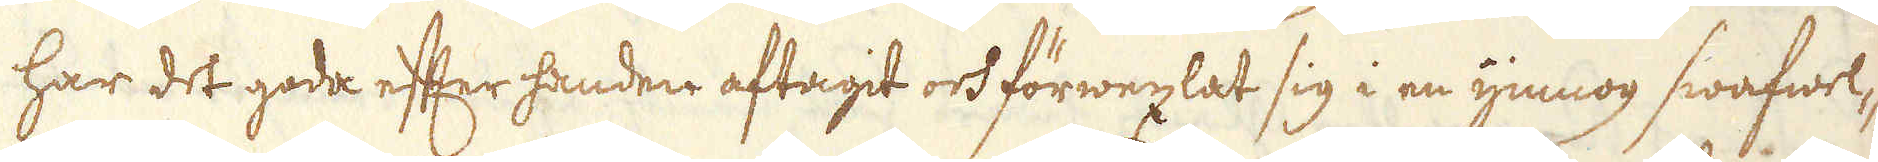har det goda efter handen aftagit och förwexlat sig i en ymnog swafwel-
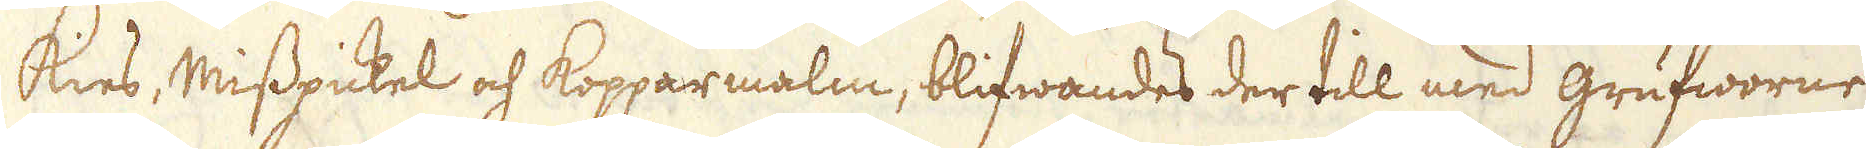Kies, Misspickel och kopparmalm, blifwandes der till med grufworne
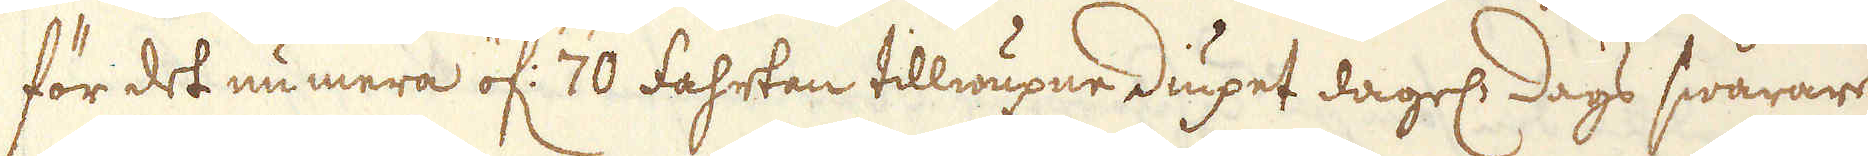för det numera öf: 70 fahrtan tillwäxne diupet dagels dags swårare
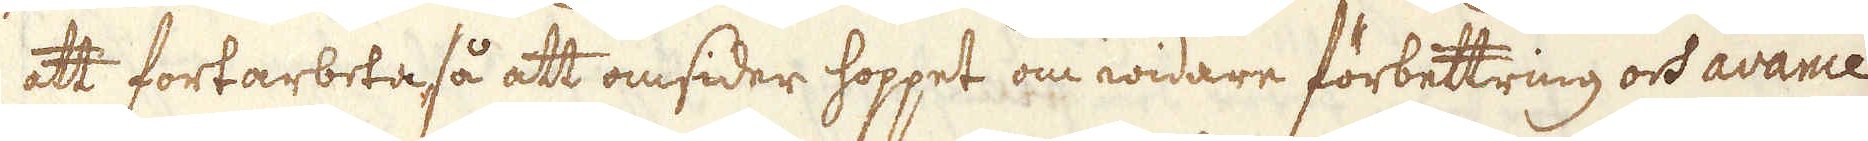att fortarbeta så att omsider hoppet om widare förbettring och avance
